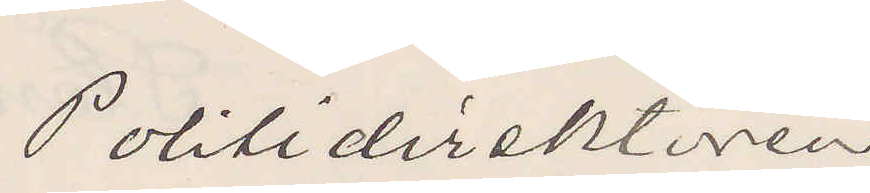Politidirektören
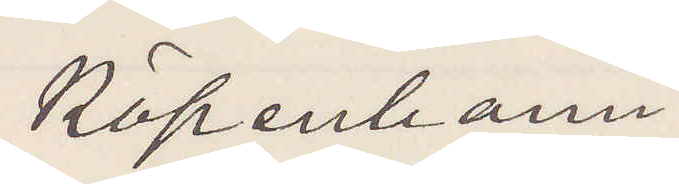Köpenhamn.
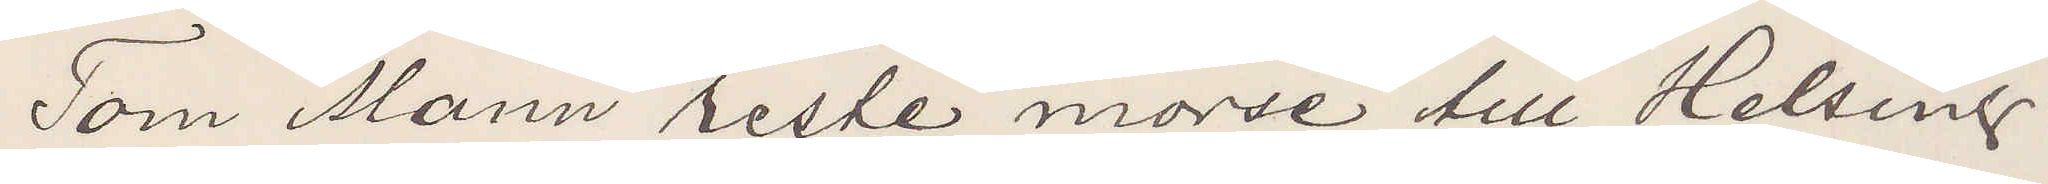Tom Mann reste morse till Helsing¬
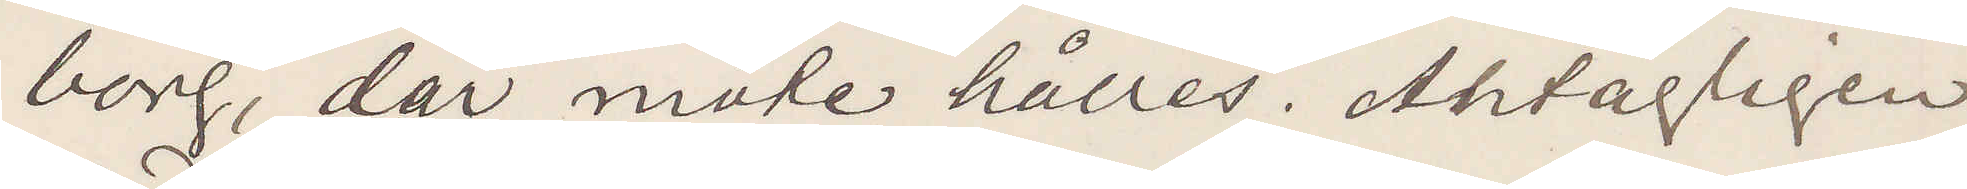borg, där måte hålles. Antagligen
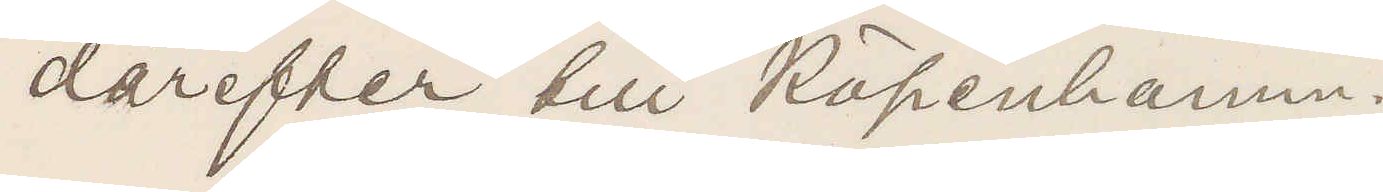därefter till Köpenhamn.
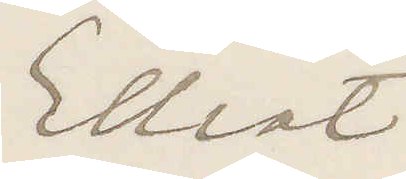Elliot
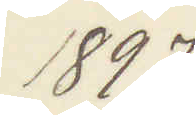1897
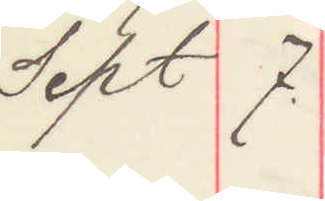Sept 7.
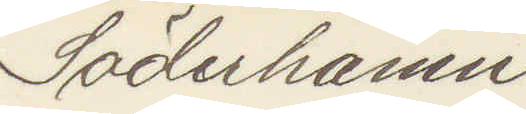Söderhamn
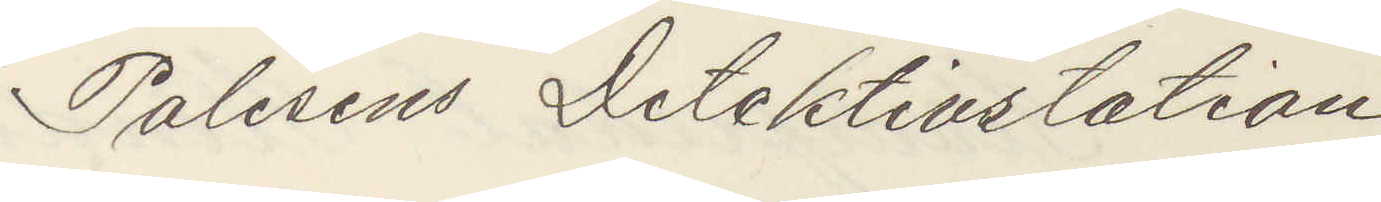Polisens Detektivstation
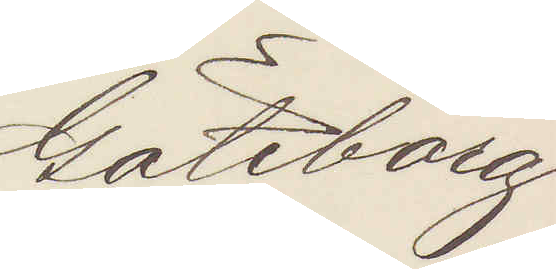Göteborg
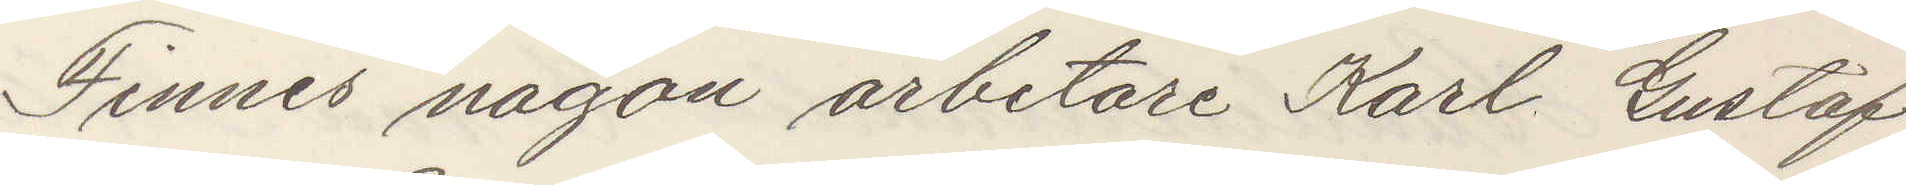Finnes någon arbetare Karl Gustaf
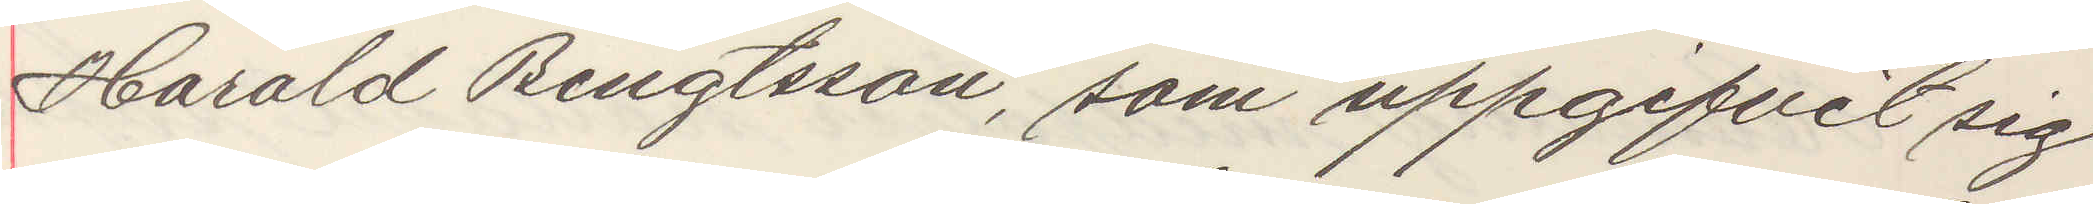Harald Bengtsson som uppgifvit sig
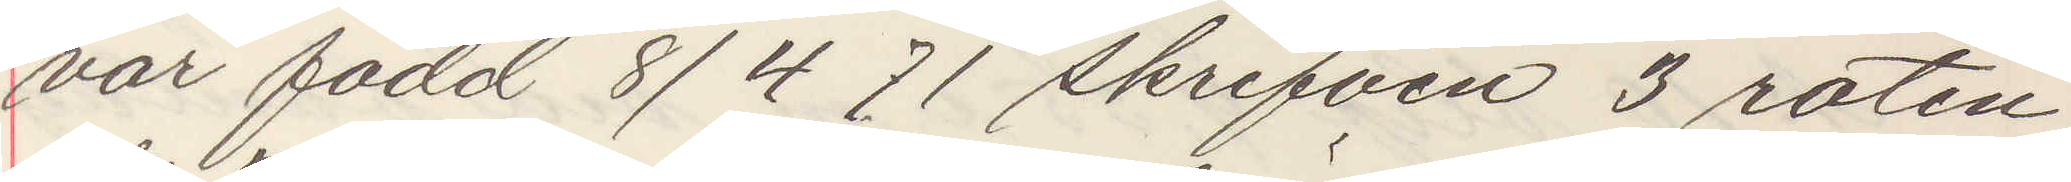var född 8/4 71 skrifven 3 roten
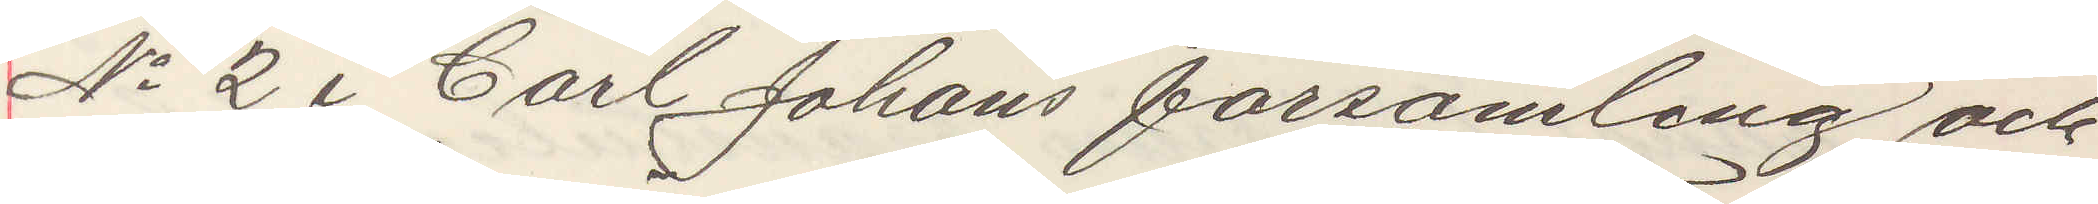No 2 i Carl Johans forsamling och
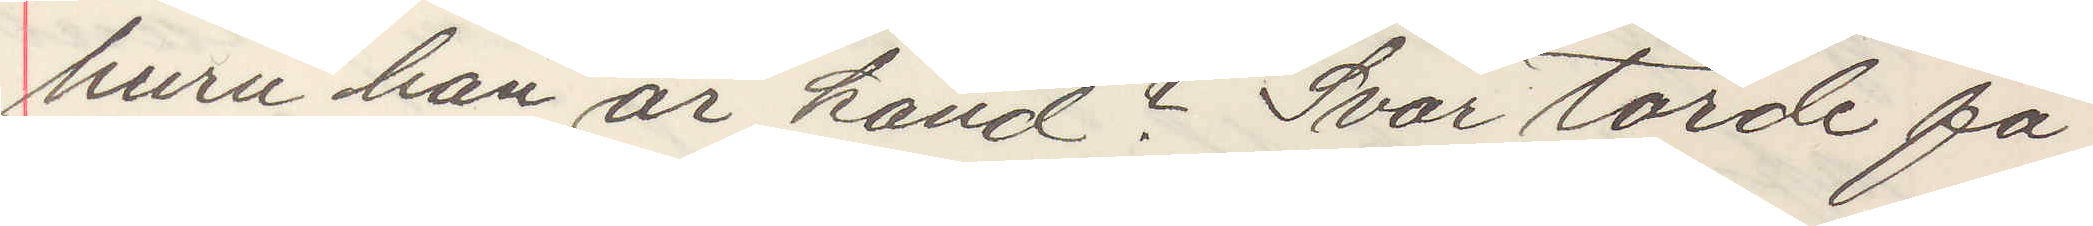huru han är känd Svar torde få
